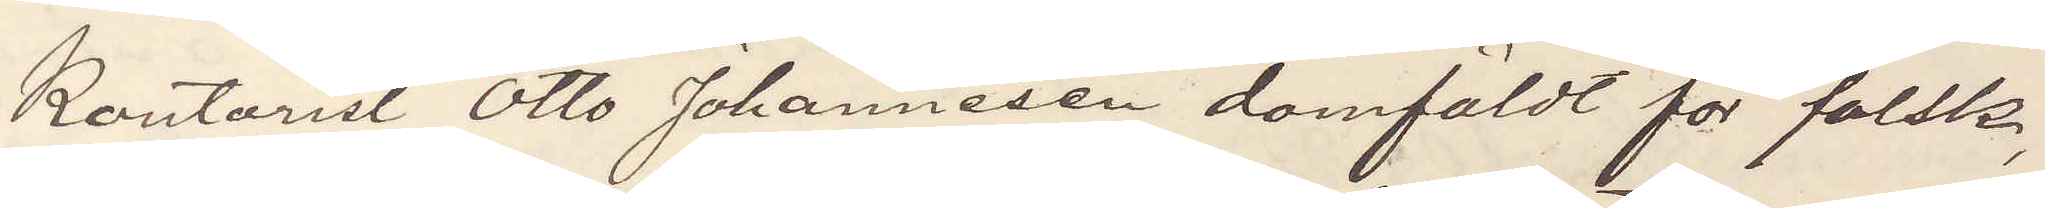Kontorist Otto Johannesen domfäldt för falsk,
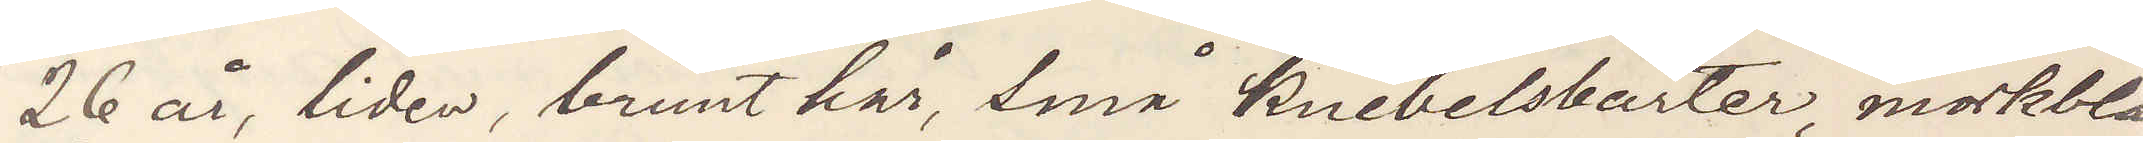26 år, liden, brunt hår, små knebelsbarter, morkblå
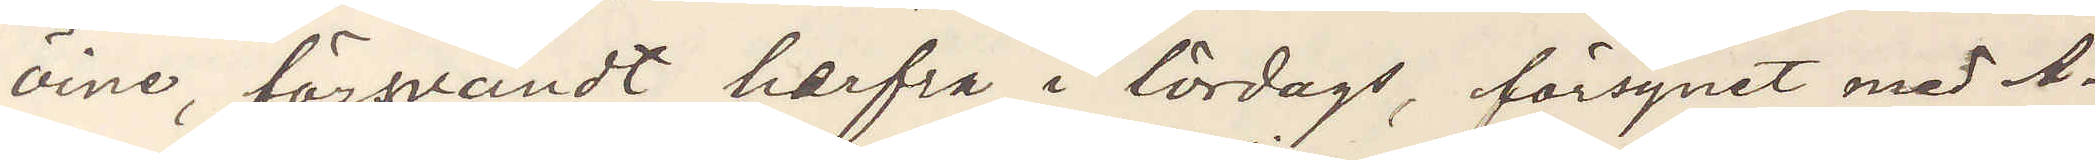öine, försvandt herfra i lördags, försynet med A¬
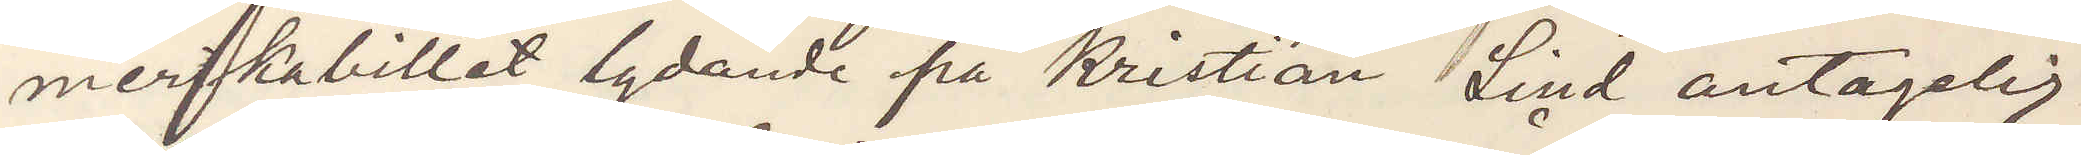merikabillet lydande på Kristian Lind antaglig
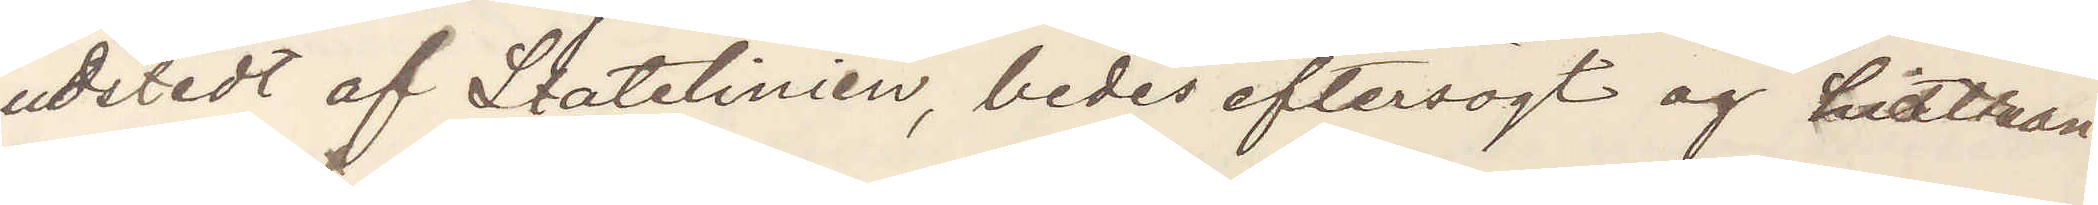utstedt af Statelinien, bedes eftersögt og hidtran¬
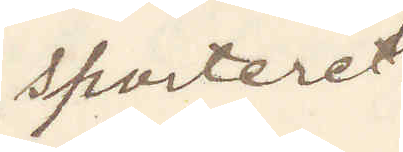sporteret.
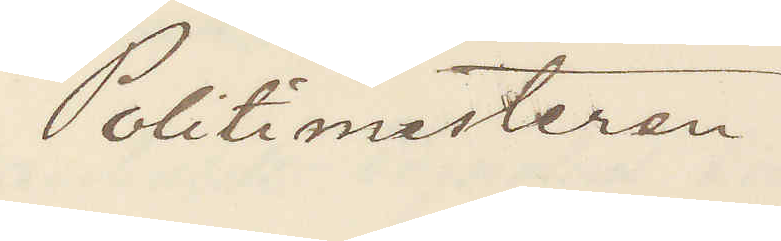Polismesteren.
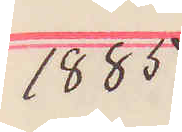1885
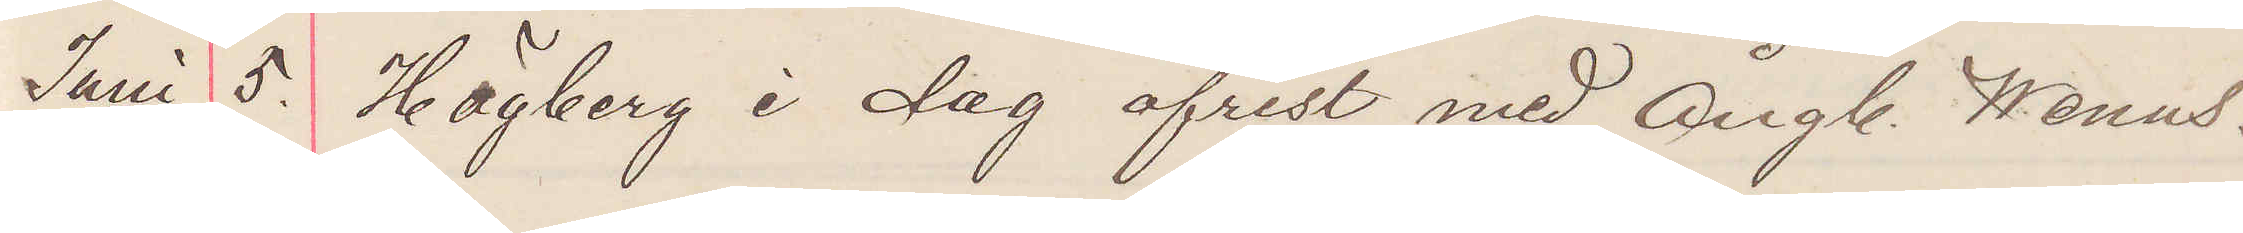Juni 5. Högberg i dag afrest med ångb. Wenus.
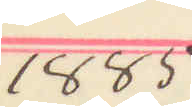1885
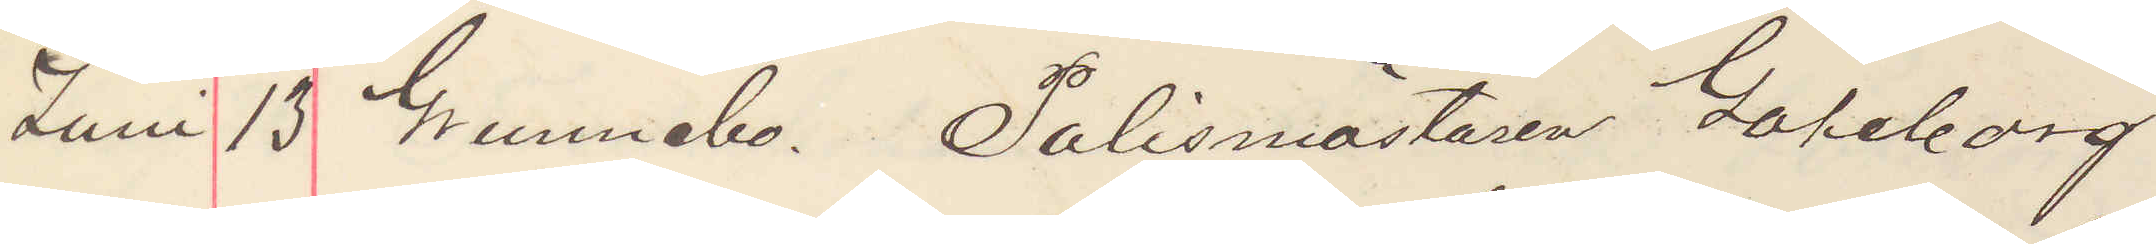Juni 13 Grunnebo. Polismsästaren Göteborg.
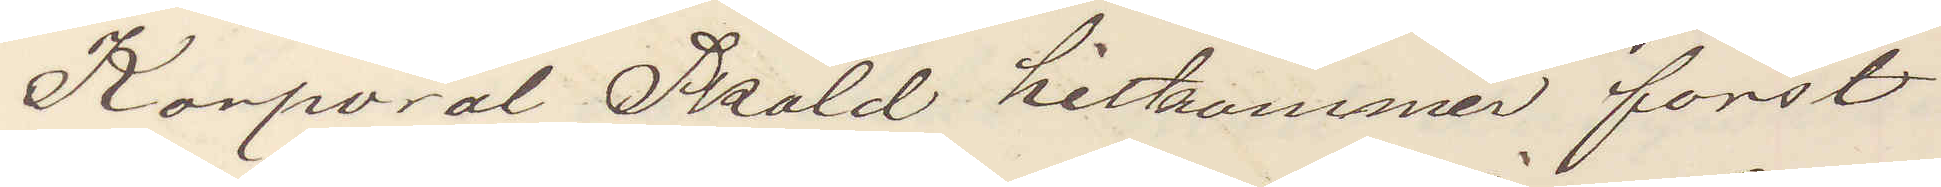Korporal Sköld hitkommer först
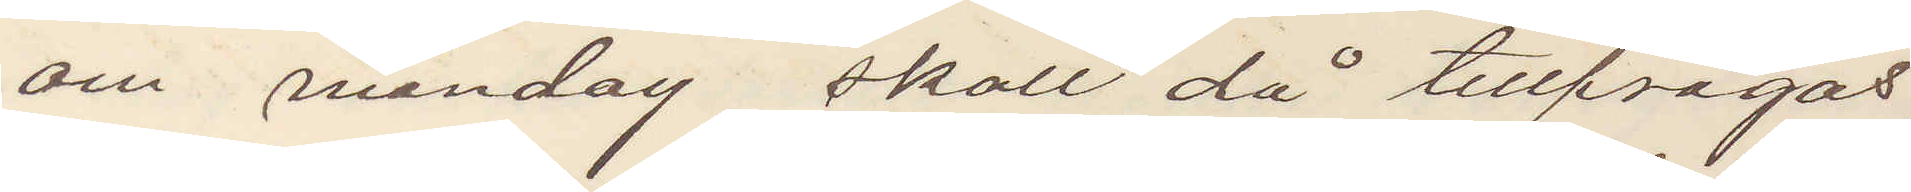om måndag skall då tillfrågas
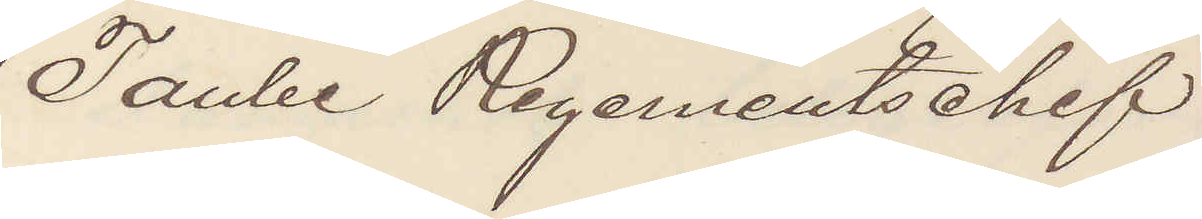Taube Regementschef
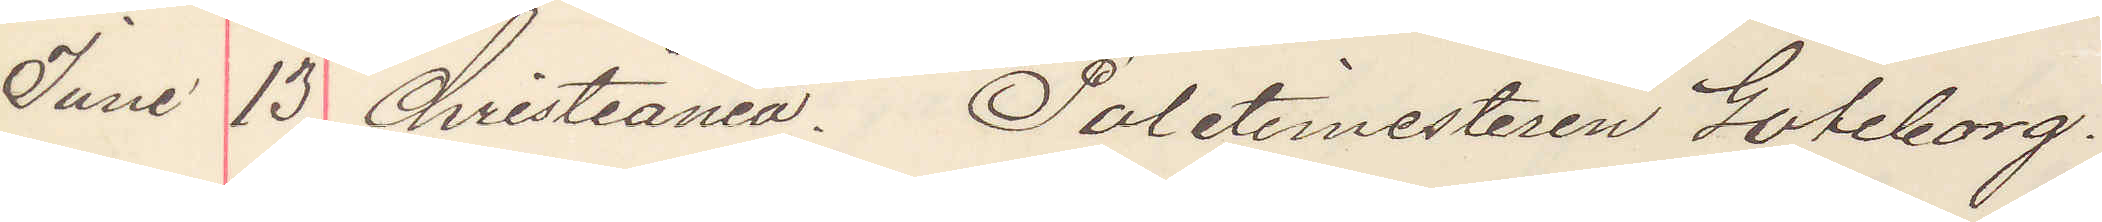Juni 13. Christiania. Politimesteren Göteborg.
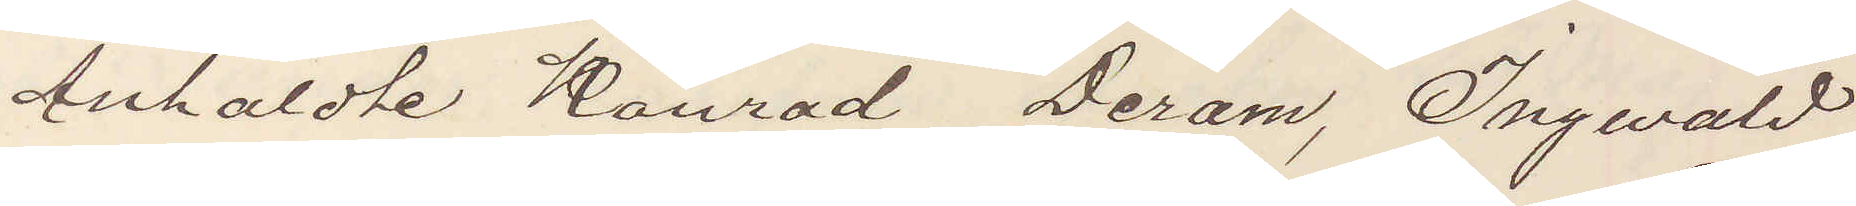Anholdte Konrad Deram, Ingewald
